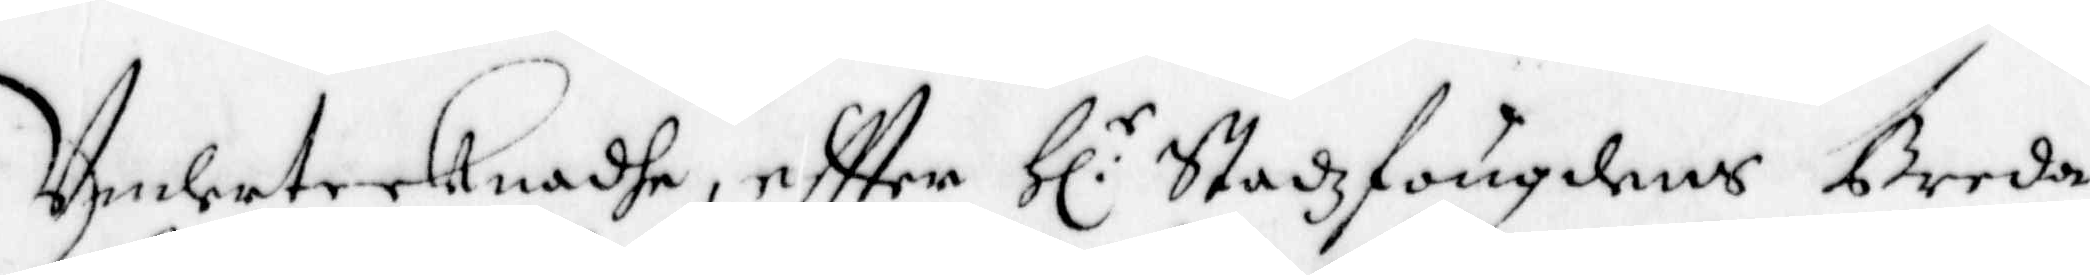Undertecknadhe, eftter Hl:r Stadzfougdens Breda
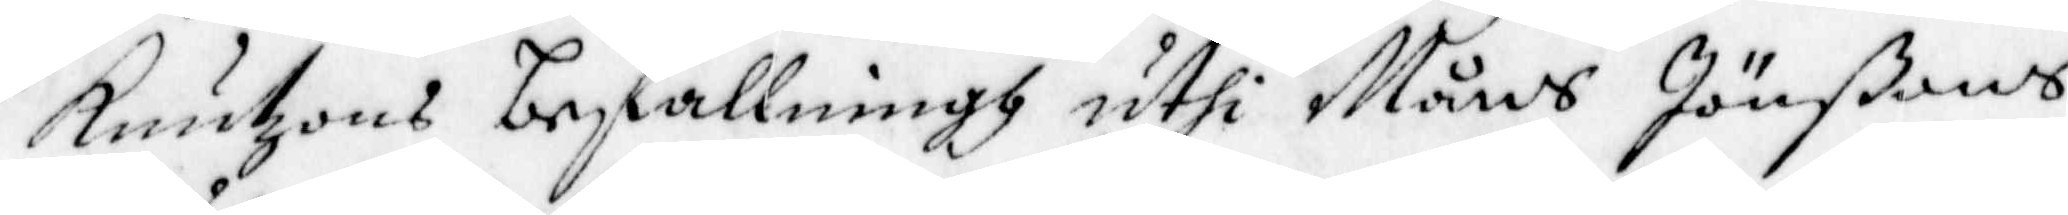Knutzons befallningh uthi Måns Jönßons
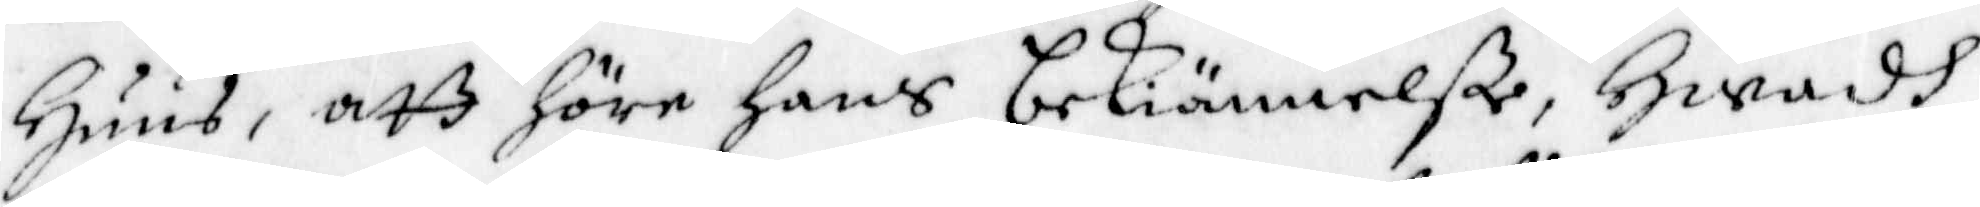Huus, att höre hans bekiännelße, Hwadh
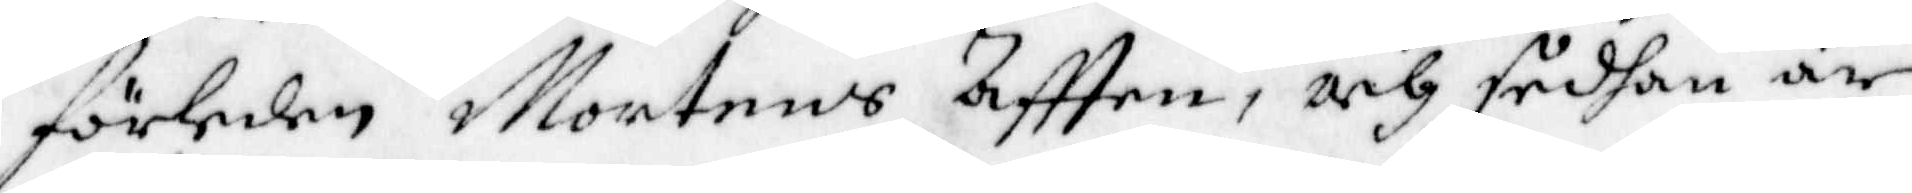förleden Mortens Afften, och sedhan är
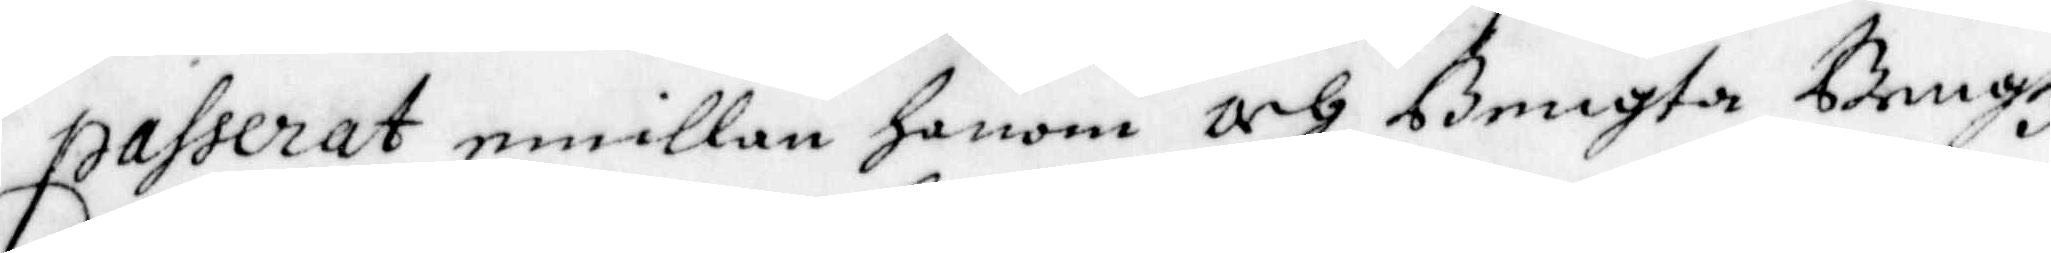passerat emillan honom och Bengta Bengtz
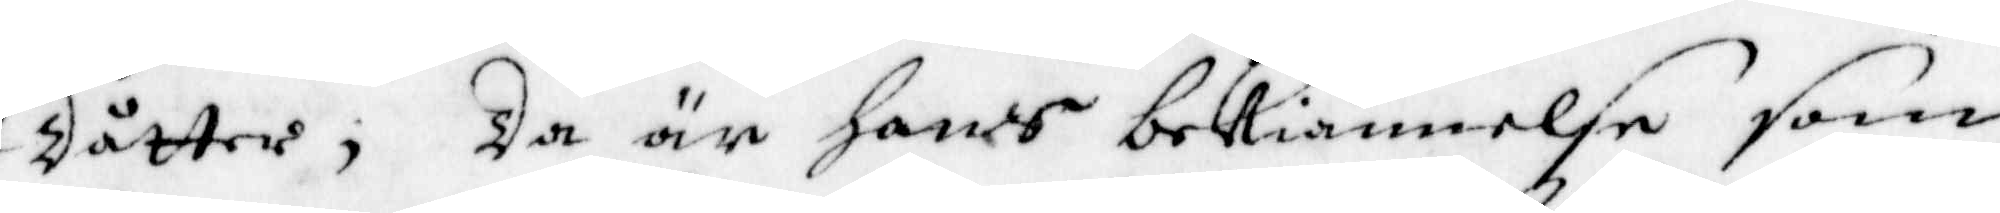Dåtter, Da är hans bekiännelse som
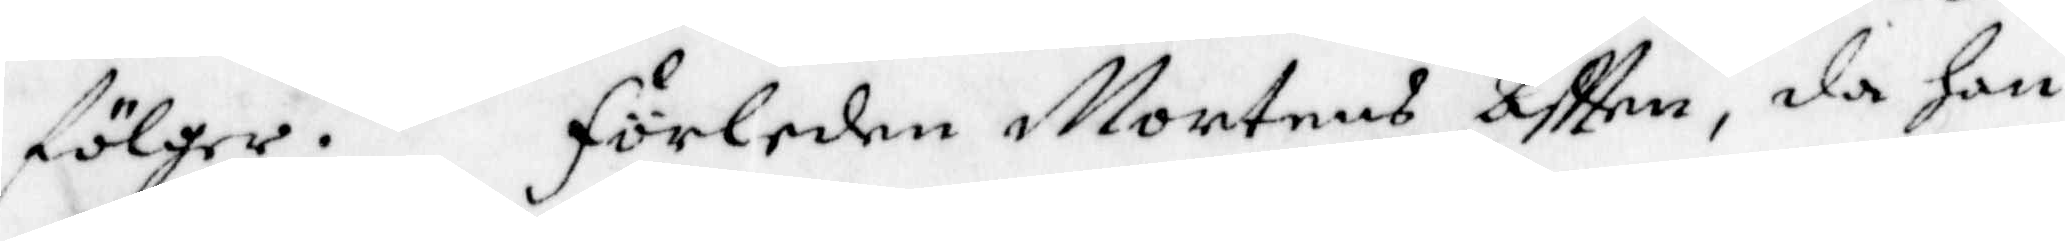fölger. Förleden Mortens Afften, då han
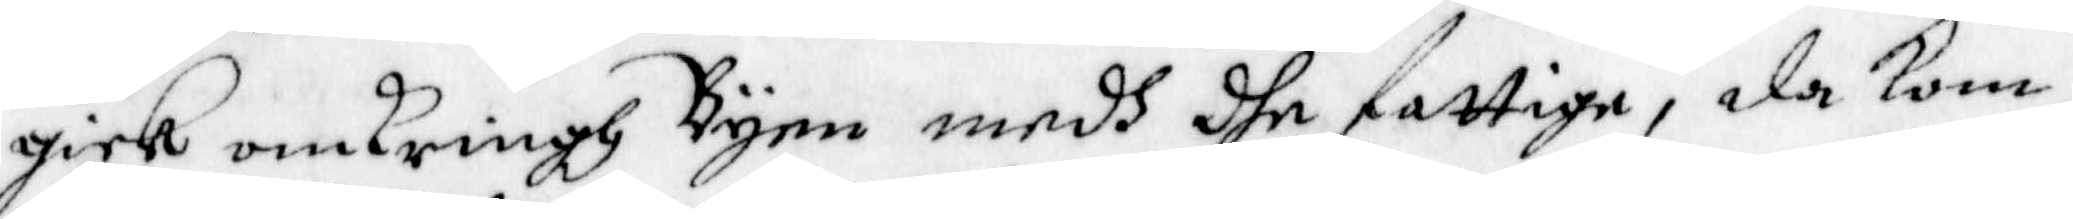gick omkringh Byen medh dhe fattiga, da kom
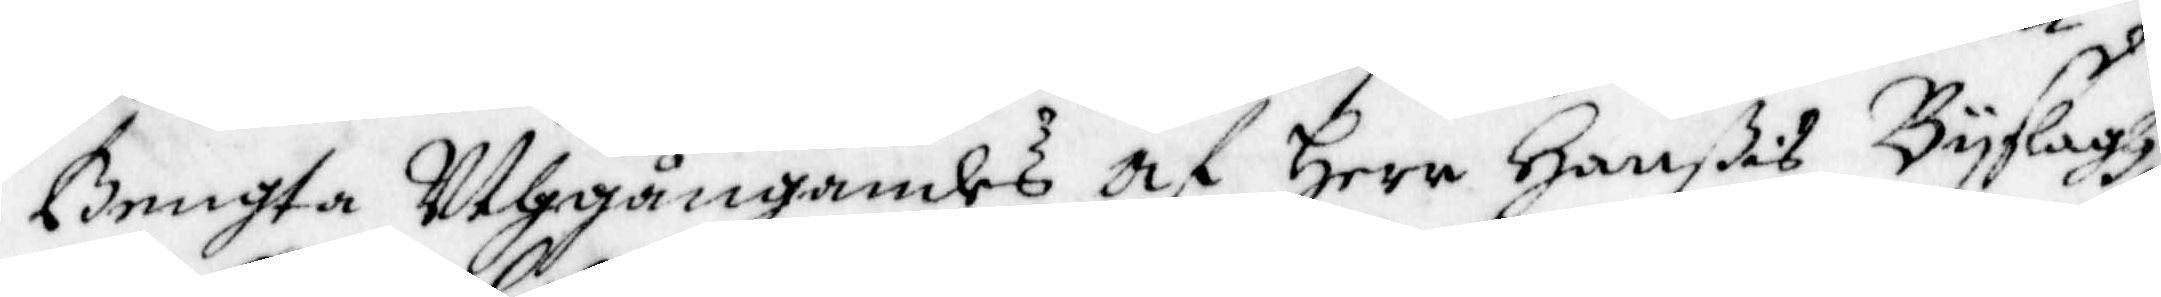Bengta Uthgångandes af Herr Hanßes Byslagh
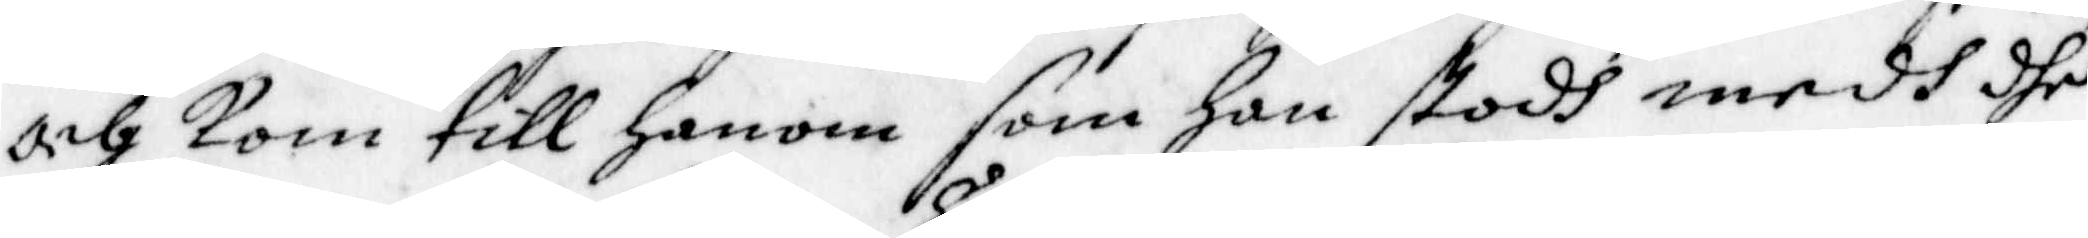och kom till Honom som hon stodh medh dhe
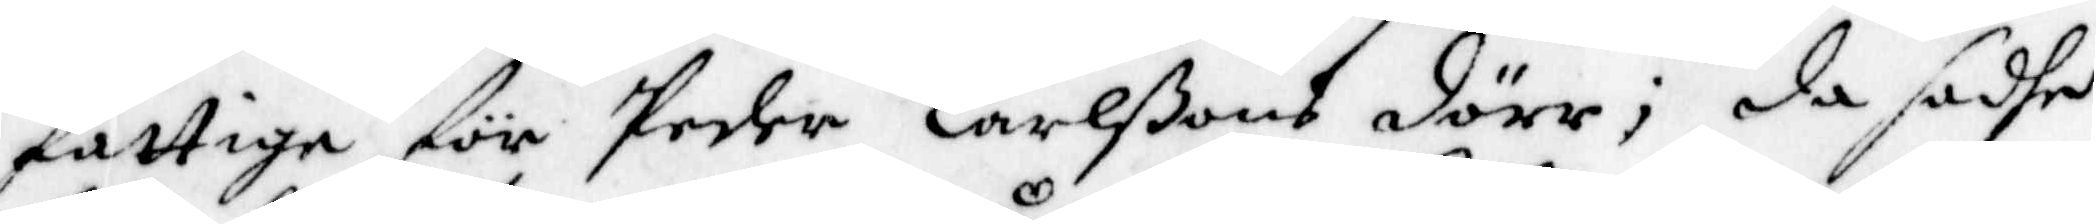fattiga för Peder Carlßons dörr; då sadhe
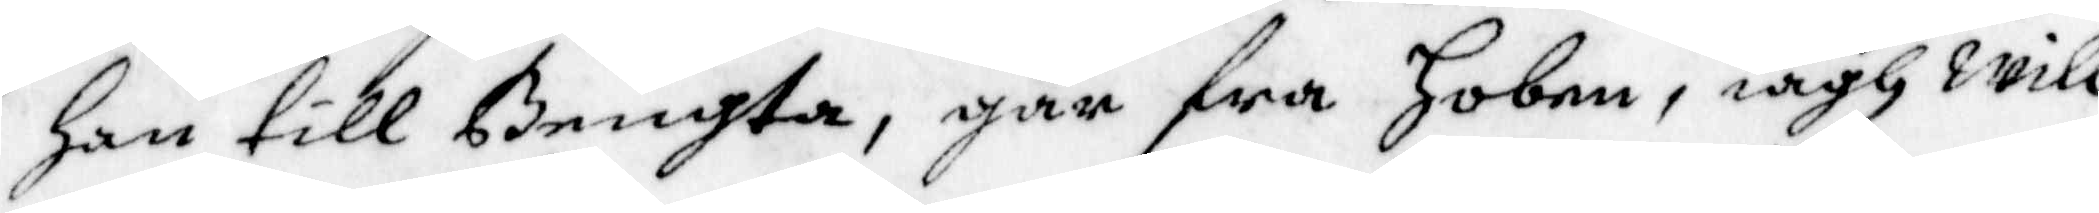han till Bengta, går fra Hoben, iagh will
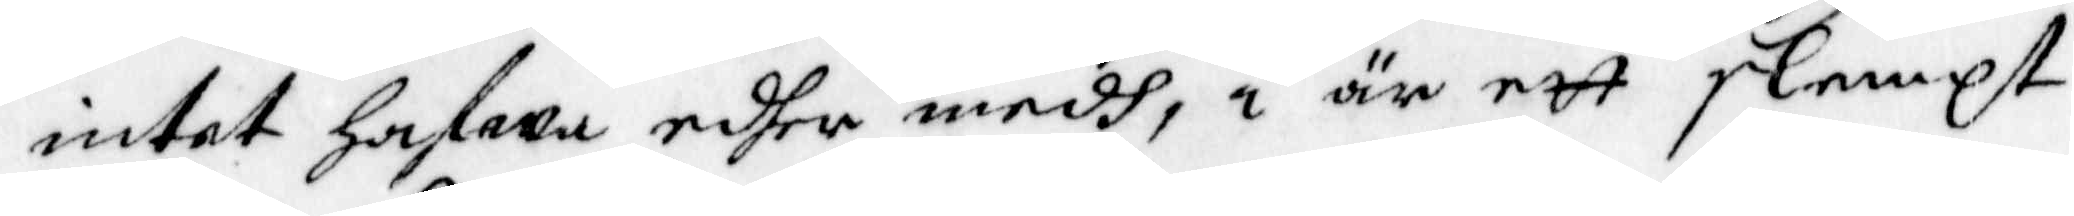intet hafwa edher medh, i är ett slempt
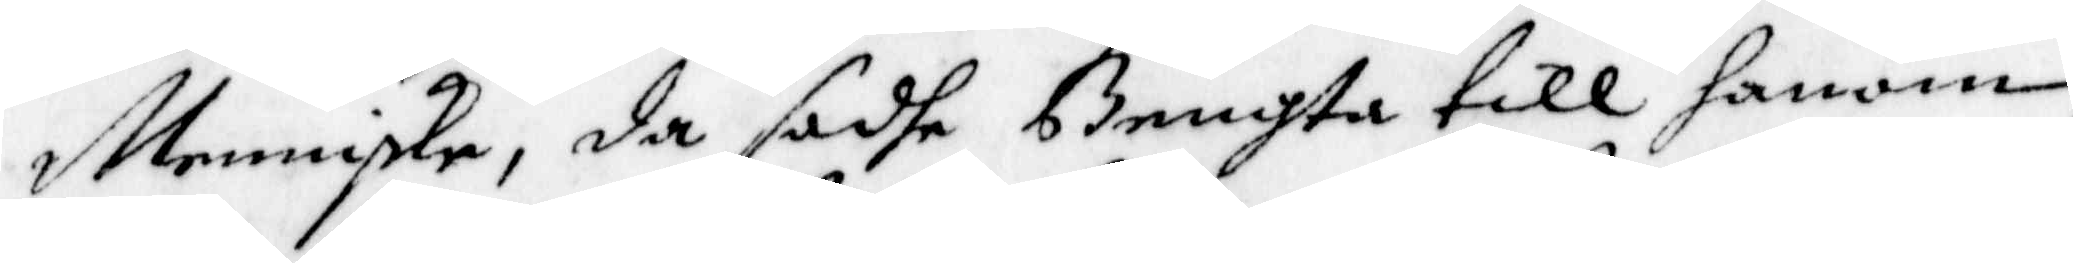Menniske, da sadhe Bengta till honom,
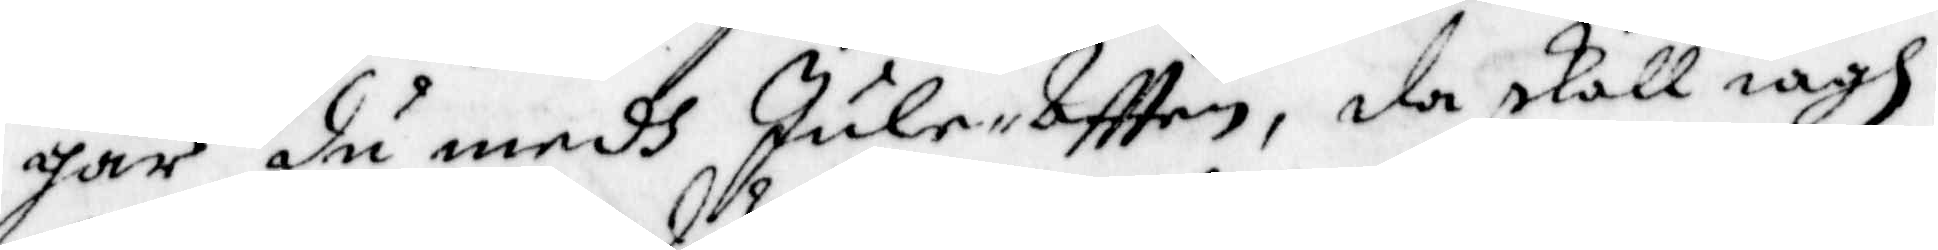går du medh Jule-Afften, da skall iagh
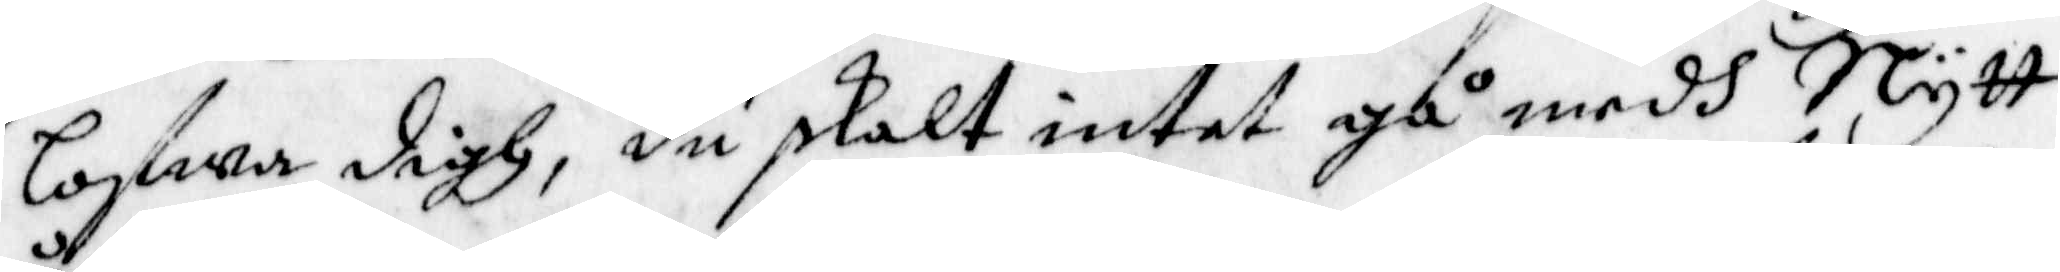lofwa digh, du skalt intet gå medh Nytt
